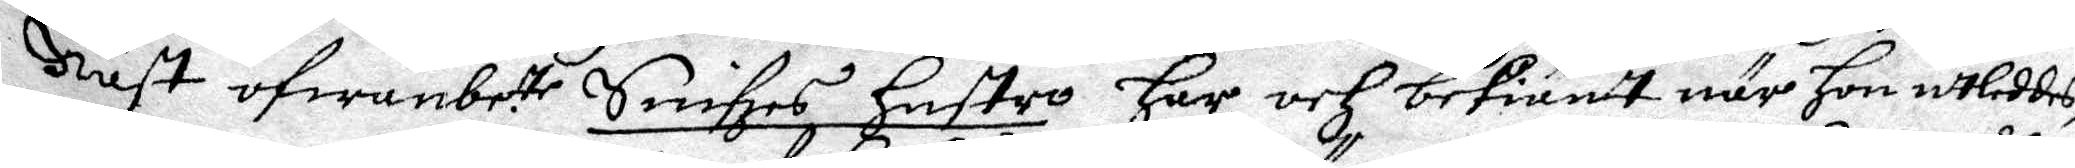Näst ofwanbe.te Snifzes hustro här och bekiänt när hon utleddes
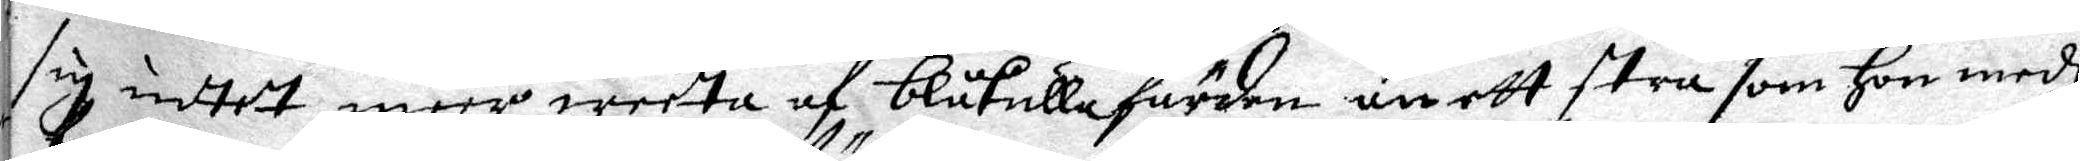sig intet meer weeta af blåkulla färden än ett strå som hon medh
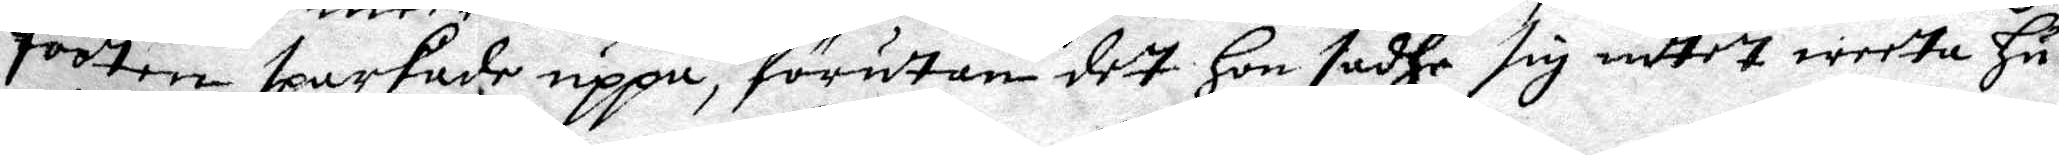foorten sparkade uppå, förutan dett hon sadhe sig intet weeta hu¬
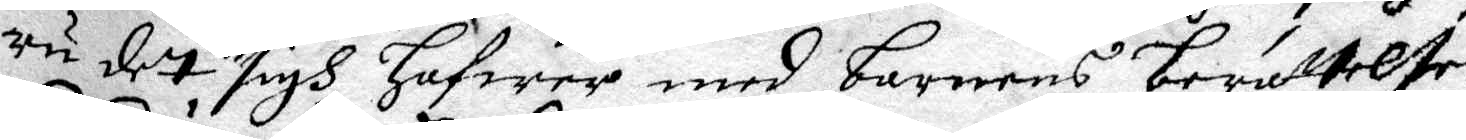ru det sigh hafwer med barnens berättelse.
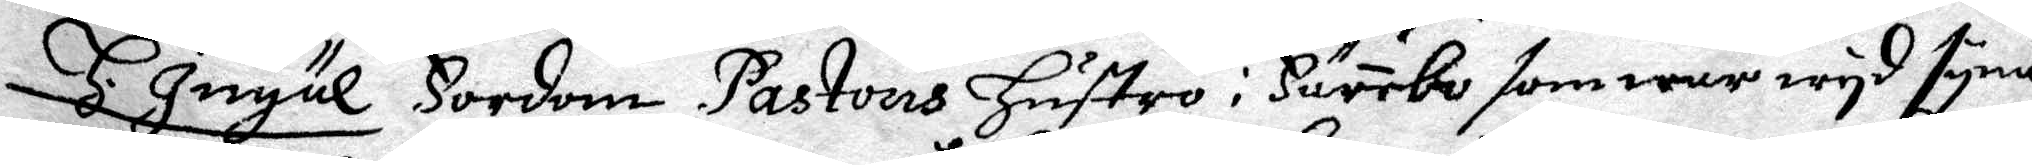H. Ingäl Fordom Pastoris Hustro i Härebo som war wyd syna
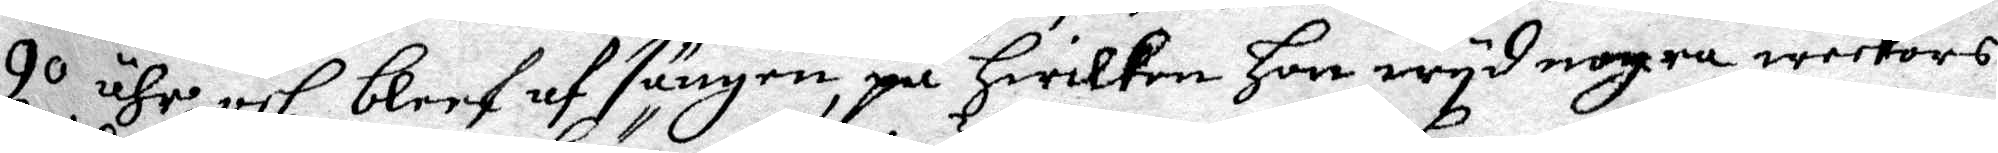90 ähr och bleef af sängen, på hwilken hon wyd nogra weekors
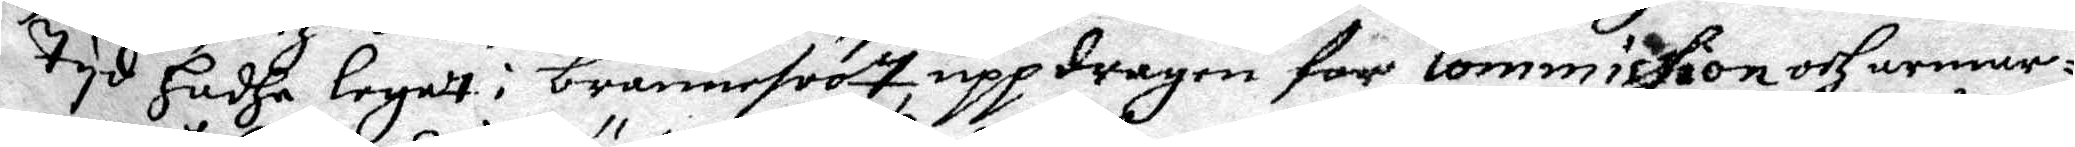tyd hadhe legat i brännesoot uppdragen för Commission och armar¬
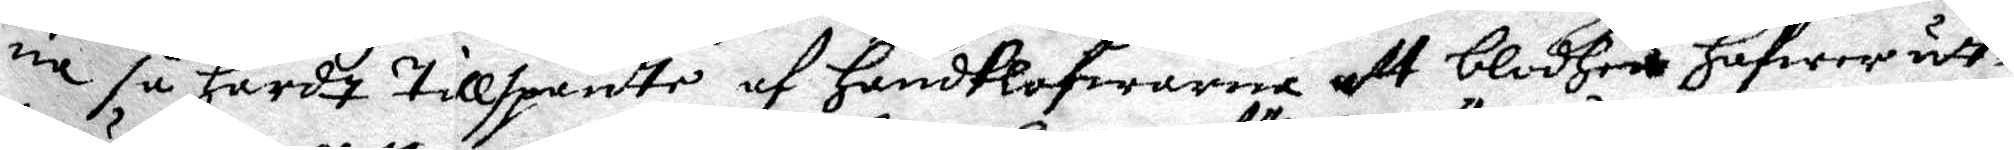na så hårdt tillspänte af handklofwarne att blodhet hafwer uth¬
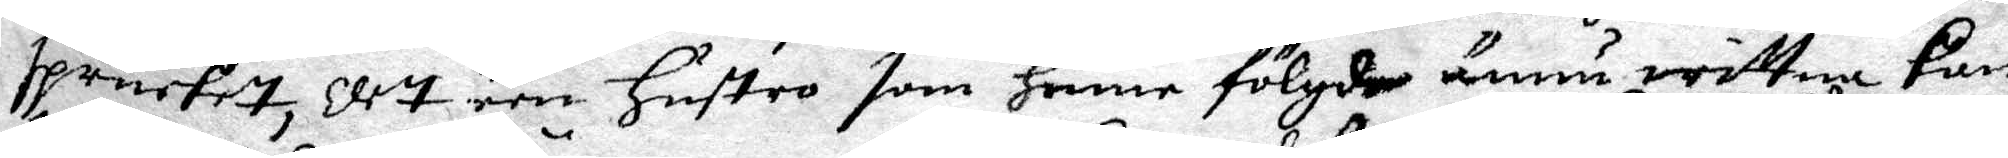sprutet, det een hustro som henne fölgde ännu wittna kan,
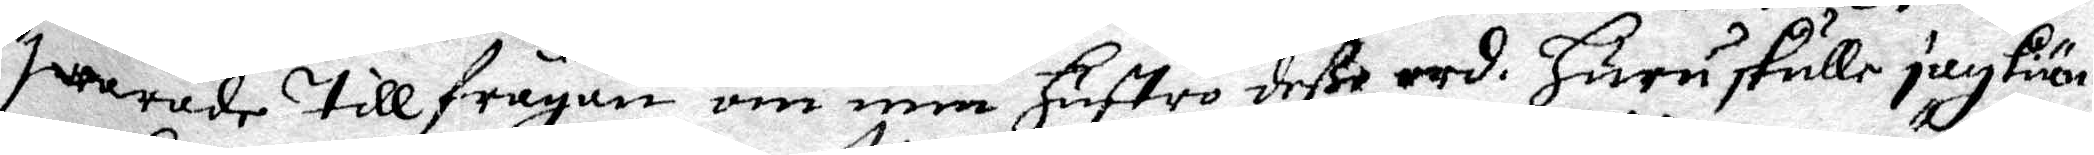swarade till frågan om min hustro deße ord. Huru skulle jag kiän¬
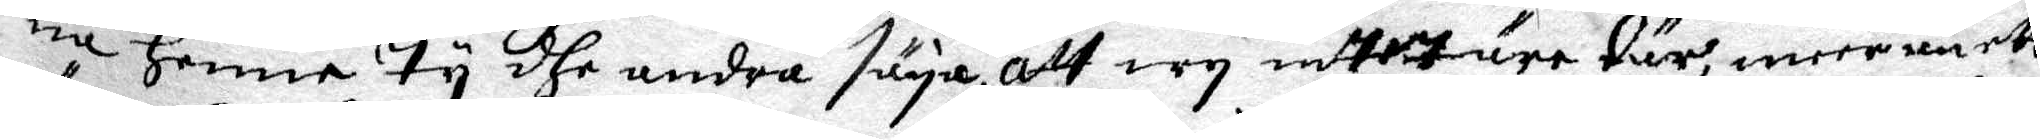na henne ty dhe andra säya att wy intet äre tär, meer m ett
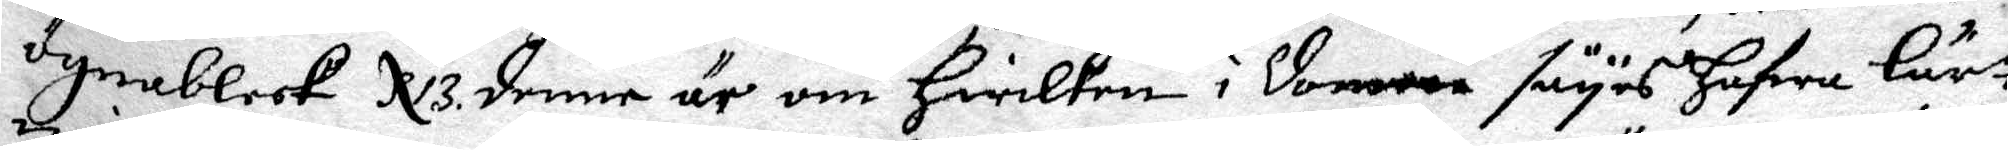Ögnableek. N 3. denne är om hwilken i domen säyes hafwa Lärt
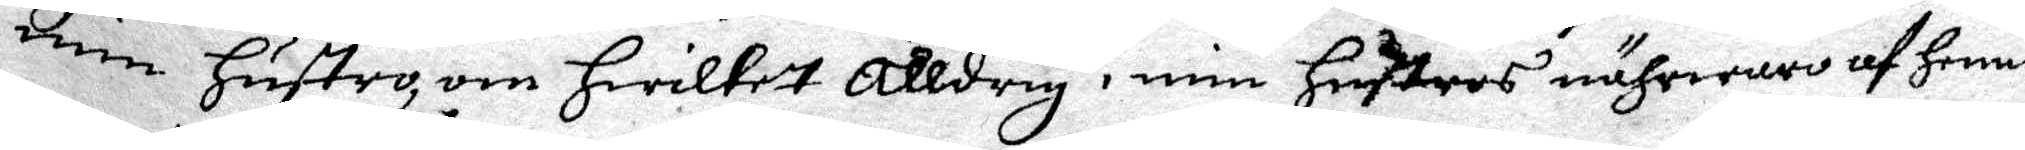min hustro, om hwilket Alldrig i min hustros nährwaro af henne
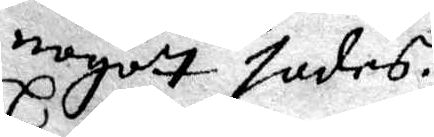nogot sades.
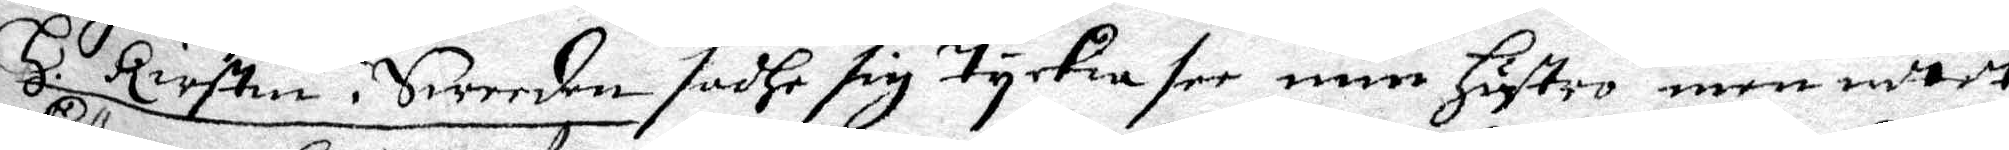H. Kirstin i Sweeden sadhe sig tyckia see min hustro, men intet
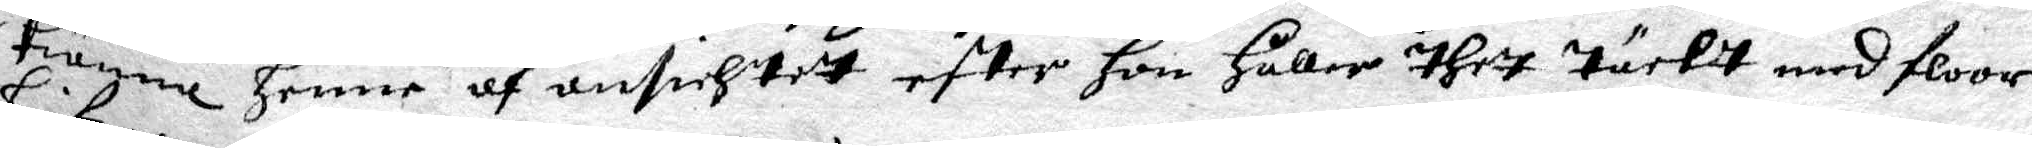kiänne henne af ansichtet efter hon håller thet täcktt med floor¬
